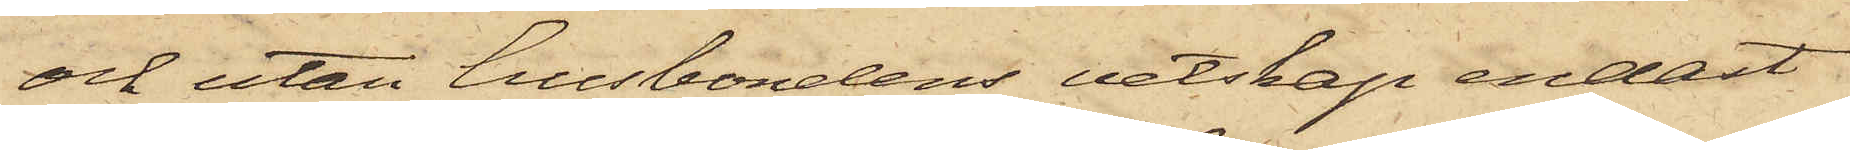och utan husbondens vetskap endast
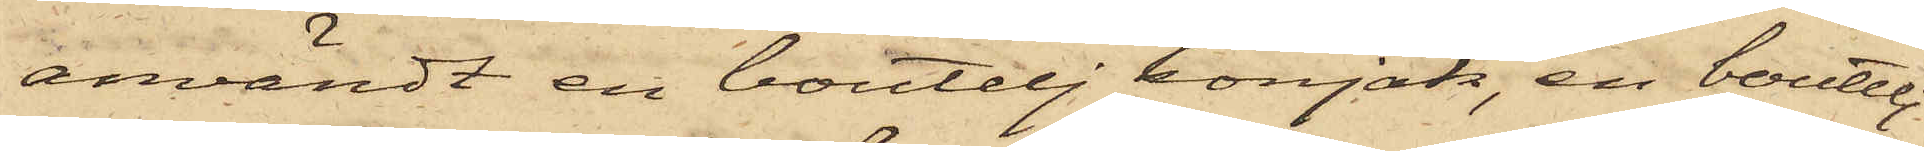användt en boutelj konjak, en boutelj
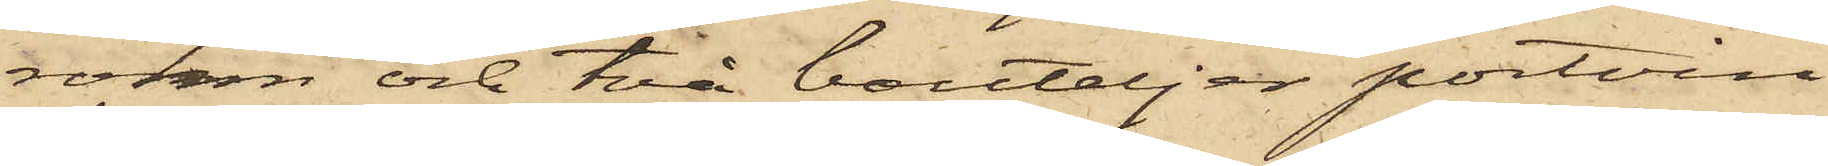rohm och två buteljer portvin,
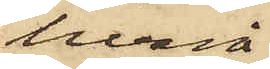hvarå
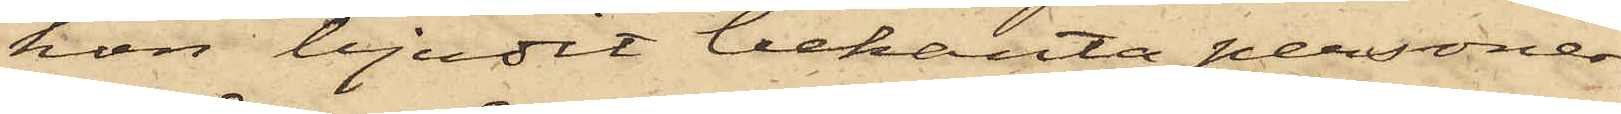hon bjudit bekanta personer,
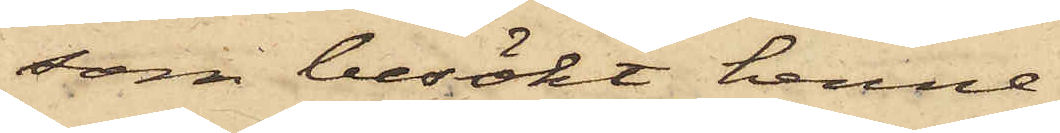som besökt henne,
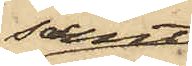samt
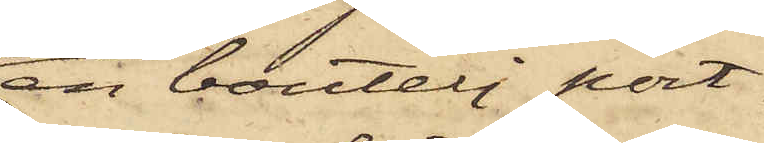en boutelj port¬
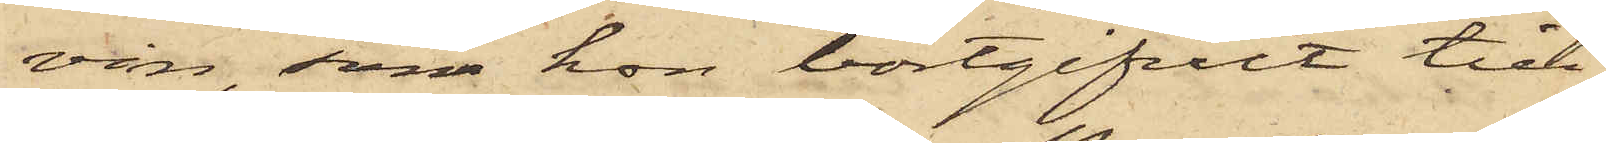vin, som hon bortgifvit till
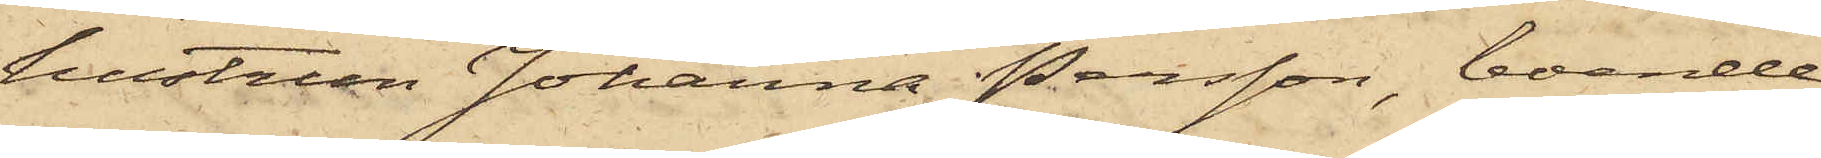hustrun Johanna Persson, boende
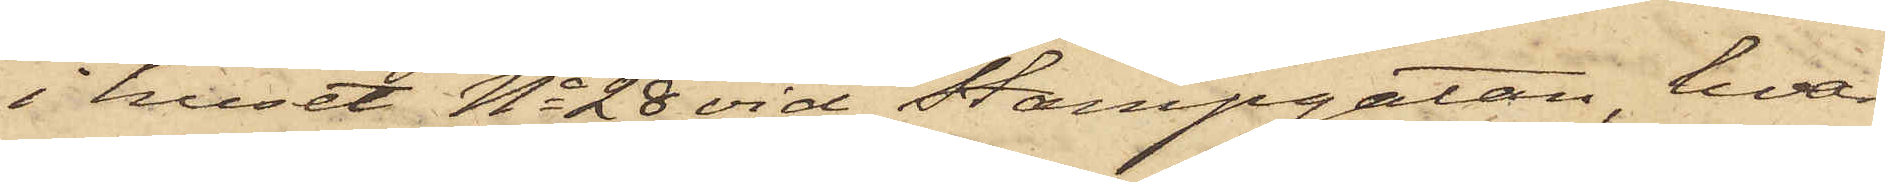i huset No 28 vid Stampgatan, hvar¬
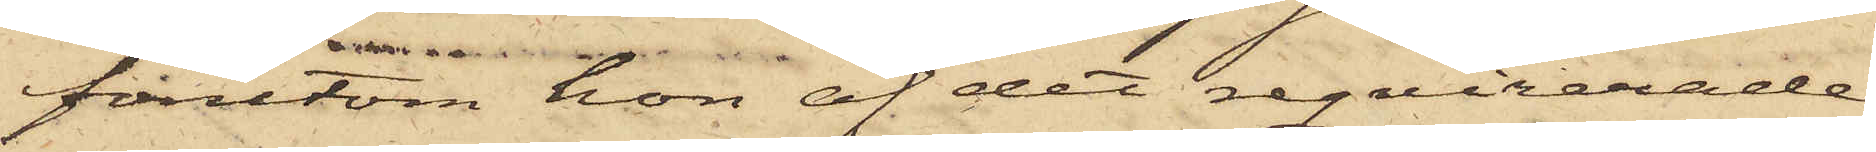förutom hon af det reqvirerade
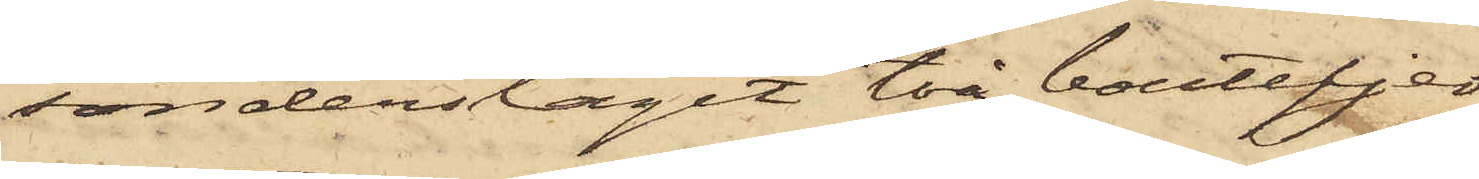sönderslaget två bouteljer
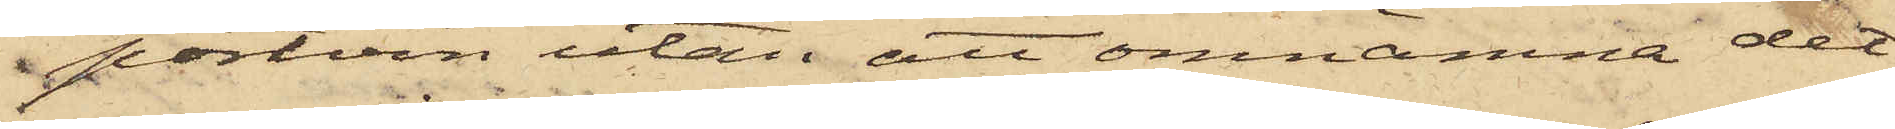portvin utan att omnämna det¬
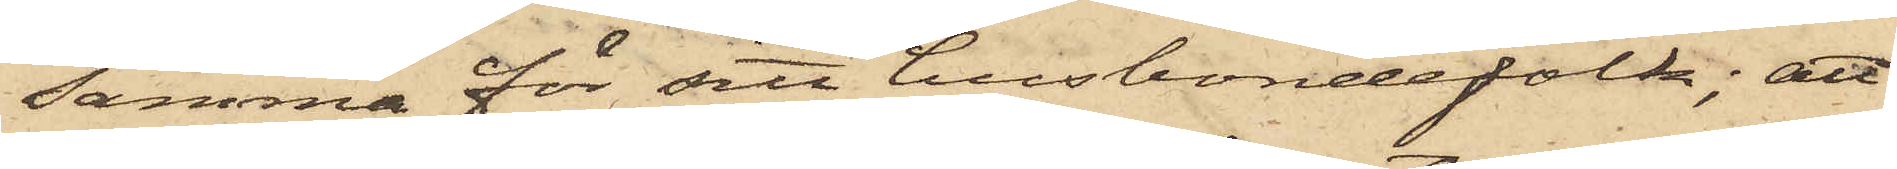samma för sitt husbondefolk; att
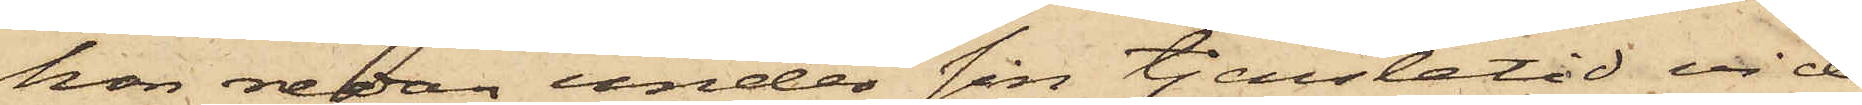hon redan under sin tjenstetid vid
